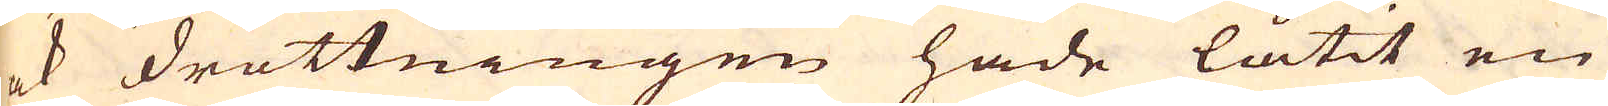ock drottningen hade låtit en
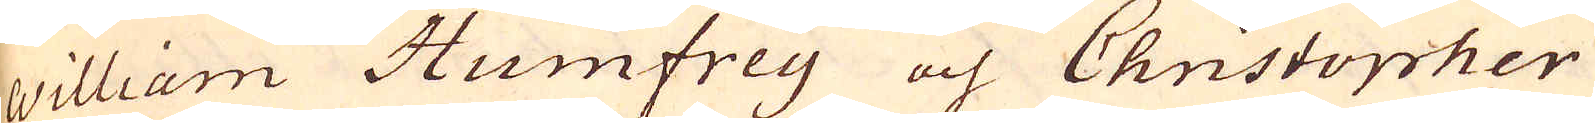William Humfrey och Christopher
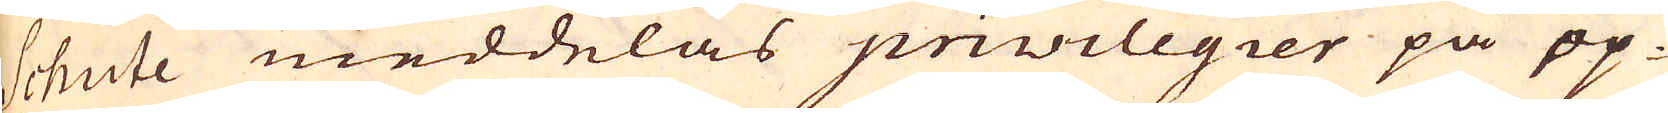Schute meddelas privilegier på op-
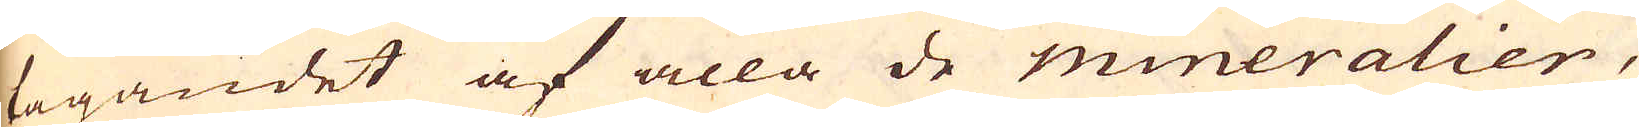tagandet af alla de mineralier,
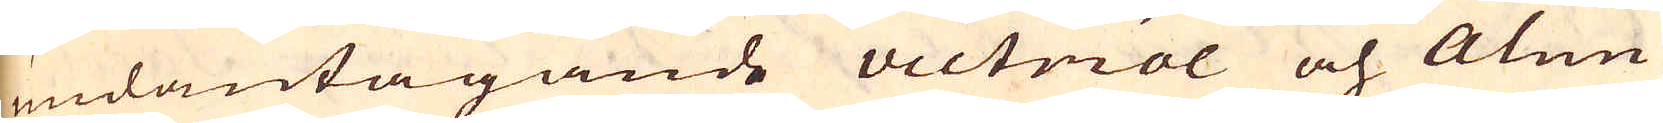undantagande victriol och Alun
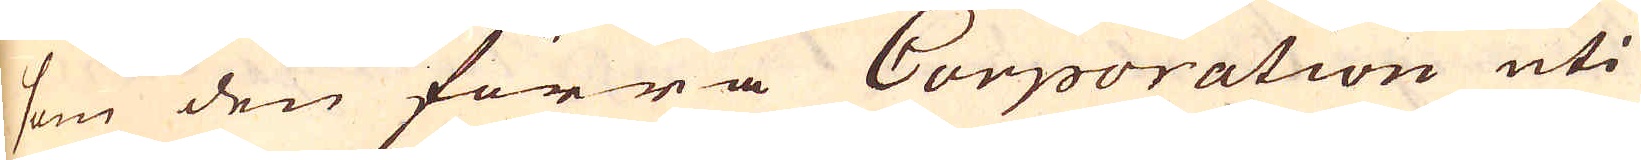som den förra Corporation uti
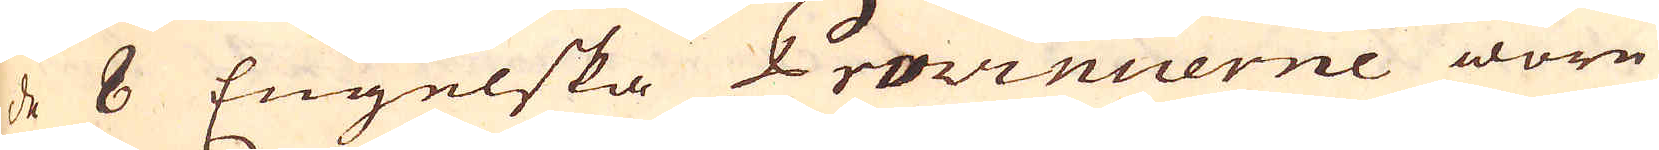de 8 Engelska Provincierne wore
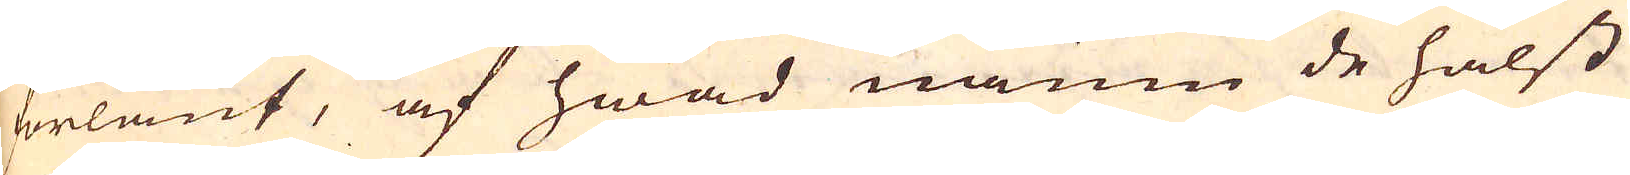förlänt, af hwad namn de hälst
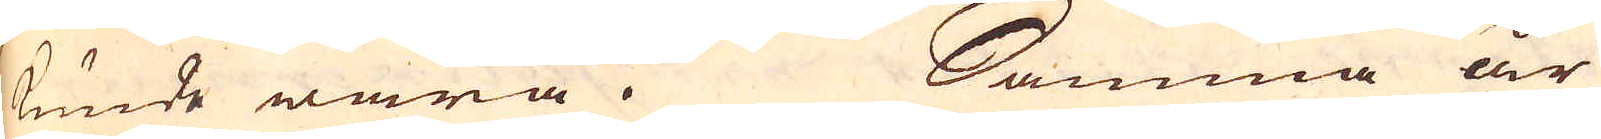kunde wara. Samma år
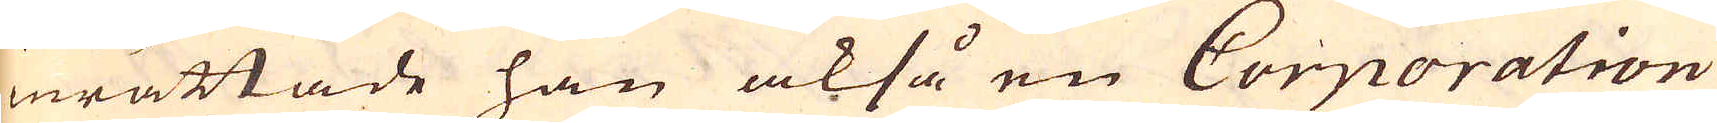inrättade han också en Corporation
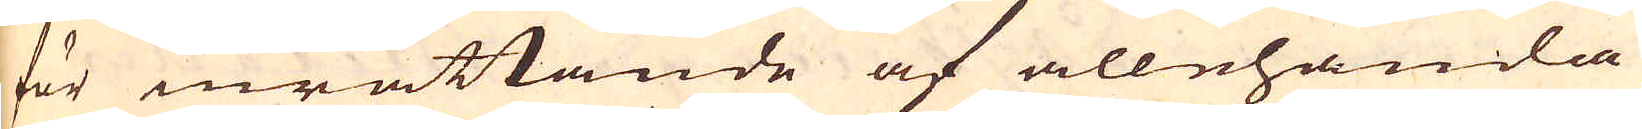för inrättande af allehanda
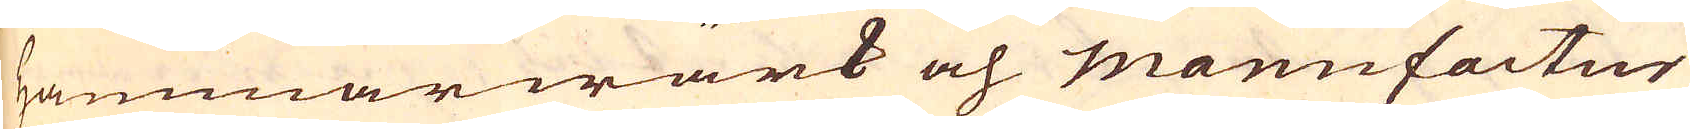hammarwärk och manufactur
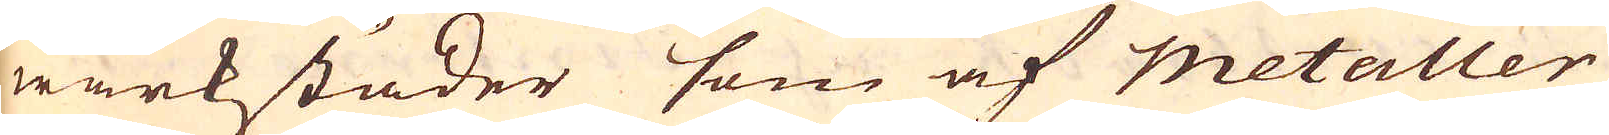wärkstäder som af metaller
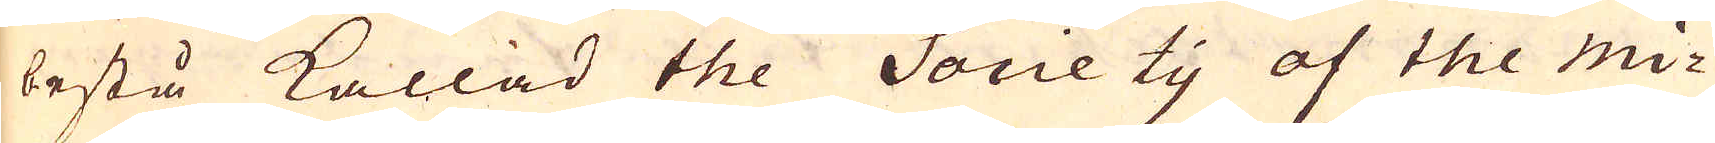bestå kallad the Society of of the mi-
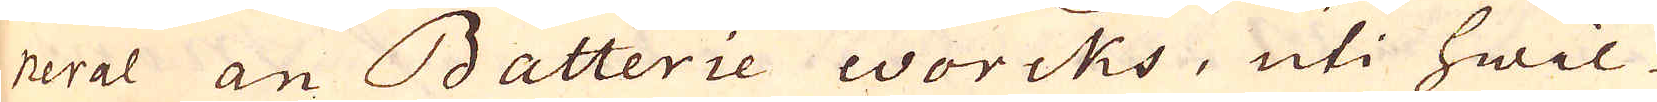neral an Batterie worcks, uti hwil-
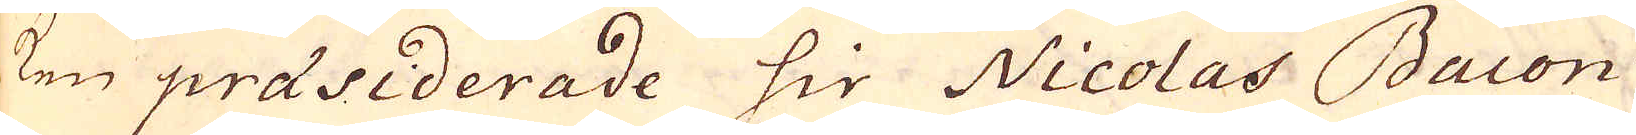ken praesiderade sir Nicolas Bacon
